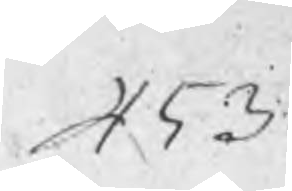453
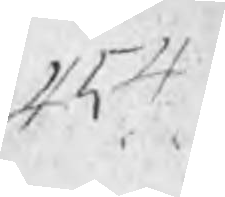454
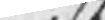allenast
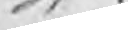454
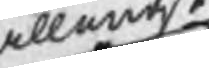allenast
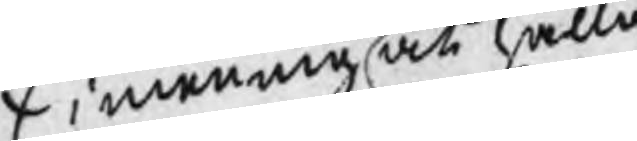/ i mening at hålla
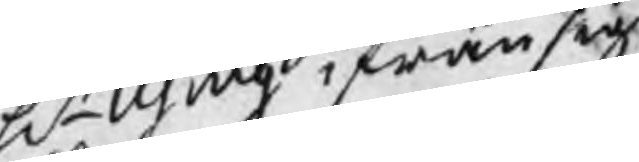Hr Using ifrån sig
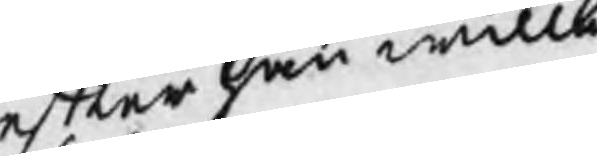efter han wille
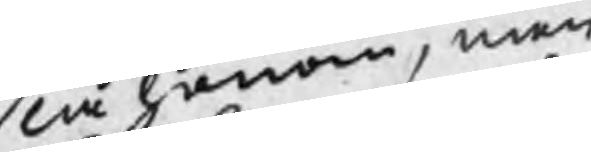slå honom, men
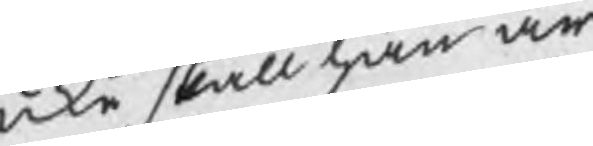icke skall han är
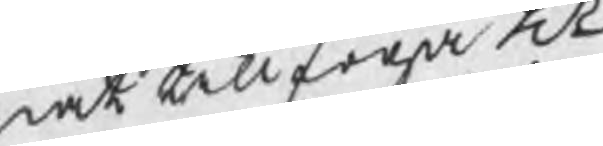nat tillfoga Hr
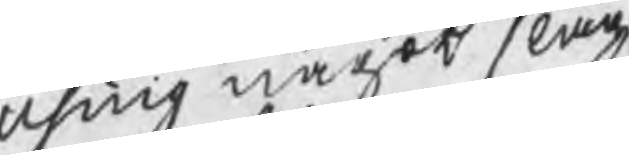Using något slag
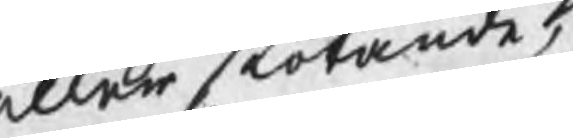eller stötande,
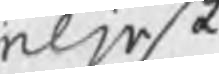eljest
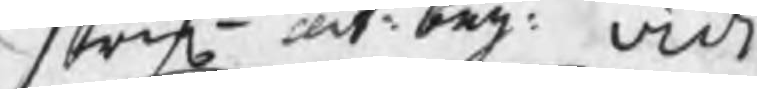Skrifn at: beg: vidi 
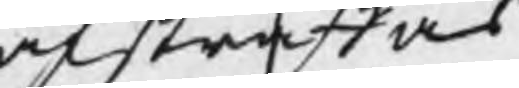afstraffas
